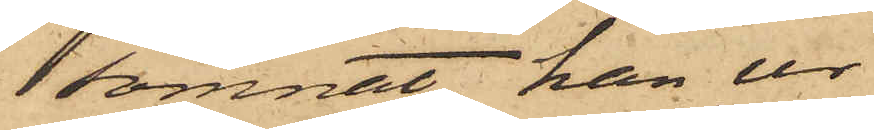somnat, han ur
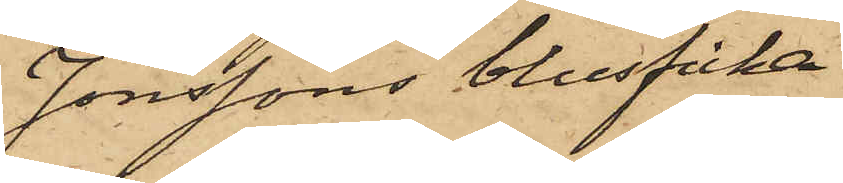Jonssons blusficka
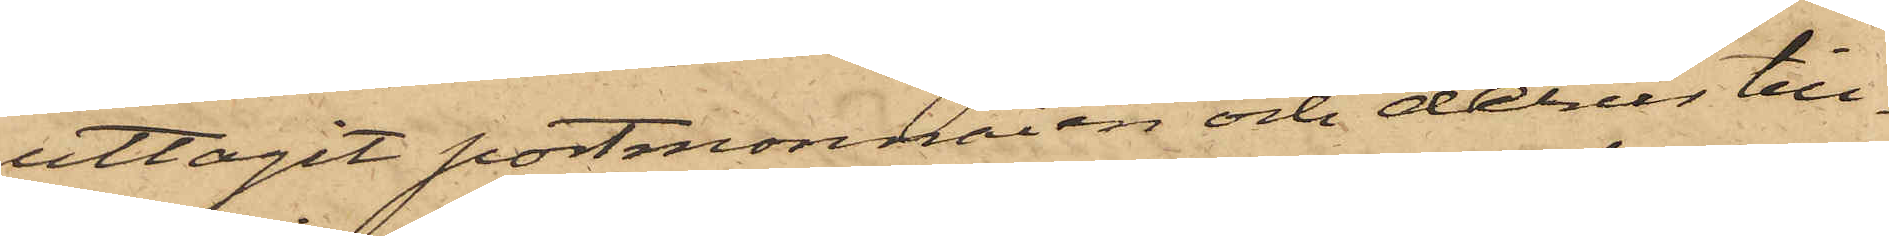uttagit portmonnaien och derur till¬
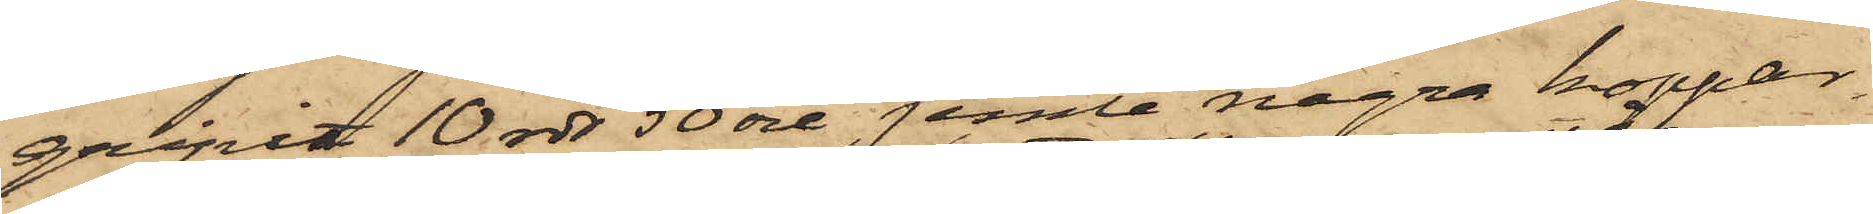gripit 10 rdr 50 öre jemte några koppar¬
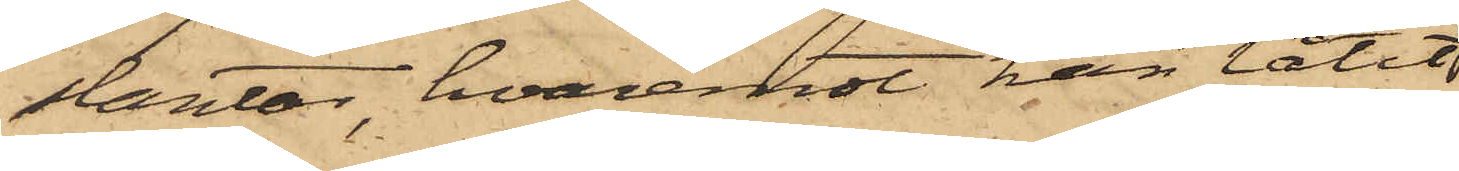slantar, hvaremot han låtit
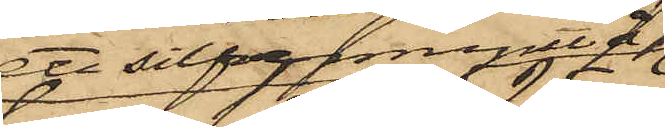ett silfvermynt à
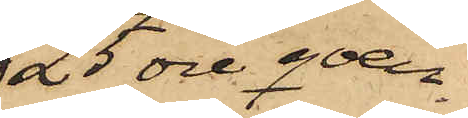25 öre qvar¬
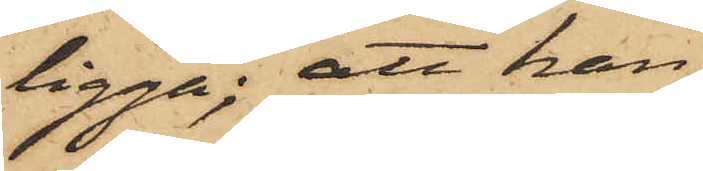ligga; att han
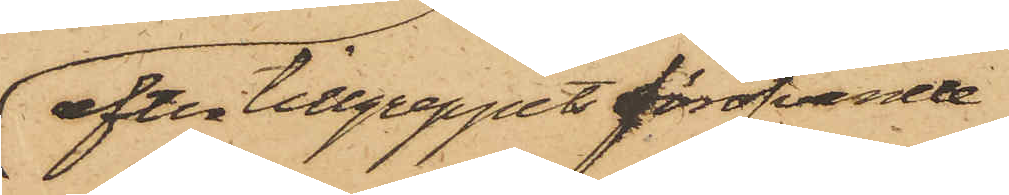efter tillgreppet föröfvande
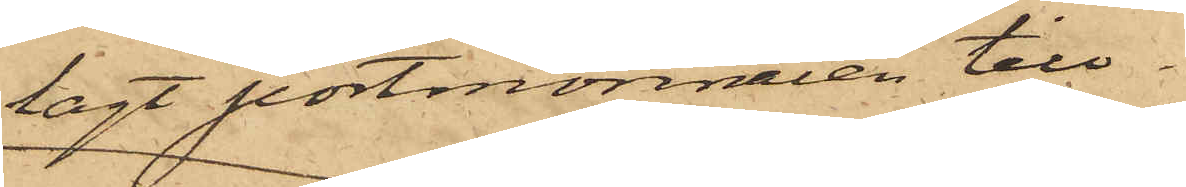lagt portmonnaien till¬
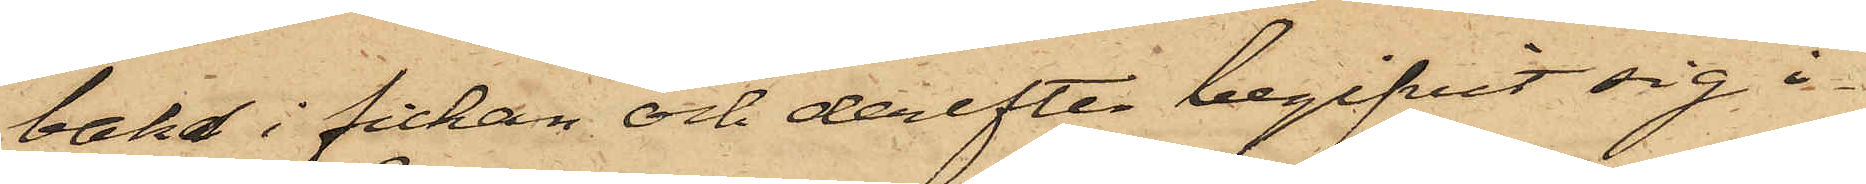baka i fickan och derefter begifvit sig i¬
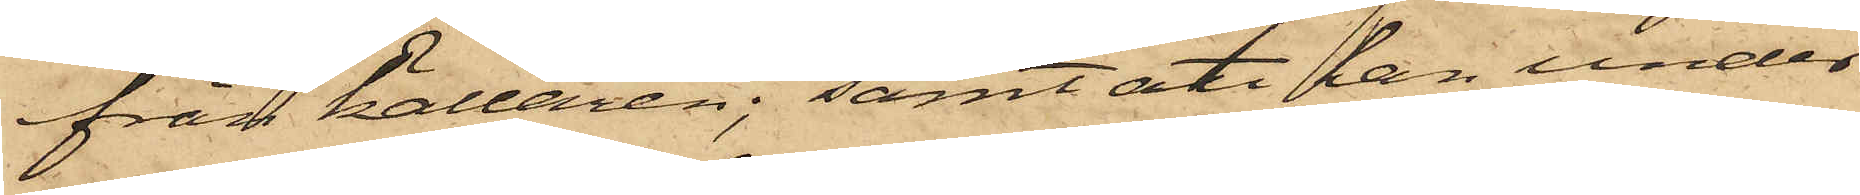från källaren; samt att han under
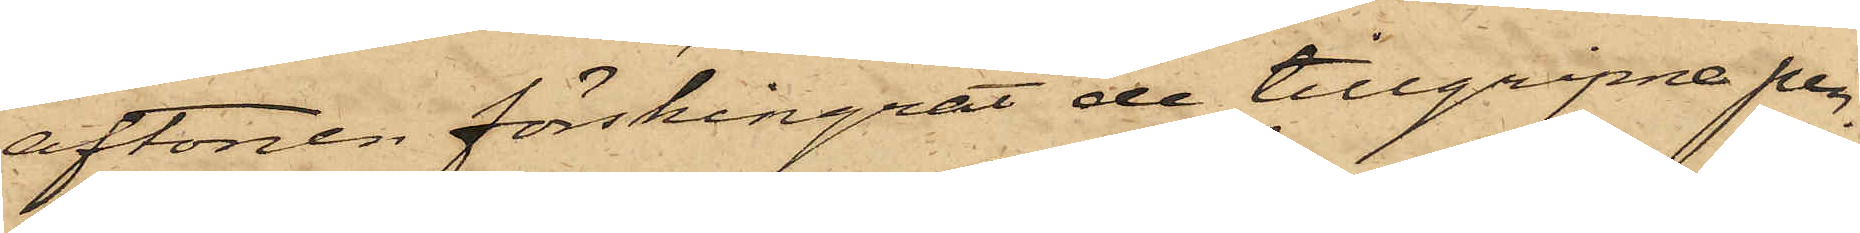aftonen förskingrat de tillgripne pen¬
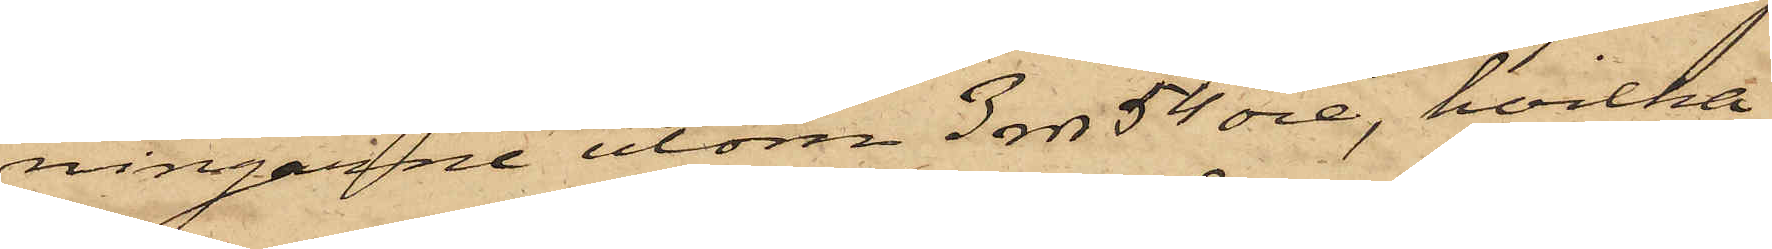ningarne utom 3 rdr 54 öre, hvilka
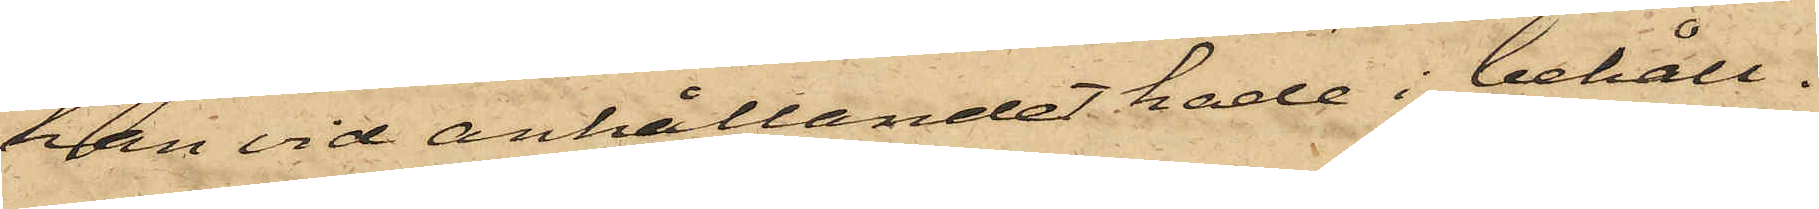han vid anhållandet hade i behåll.
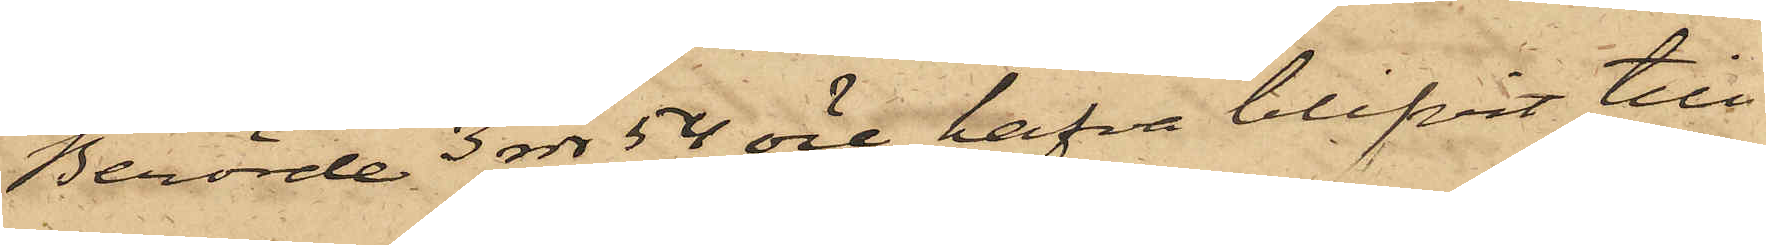Berörde 3 rdr 54 öre hafva blifvit till
